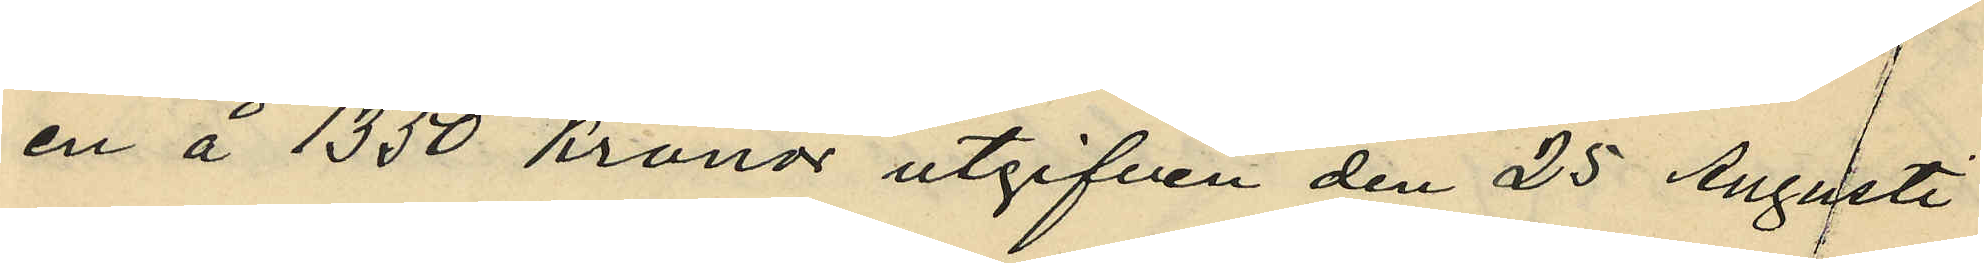en å 1350 kronor utgifven den 25 Agusti
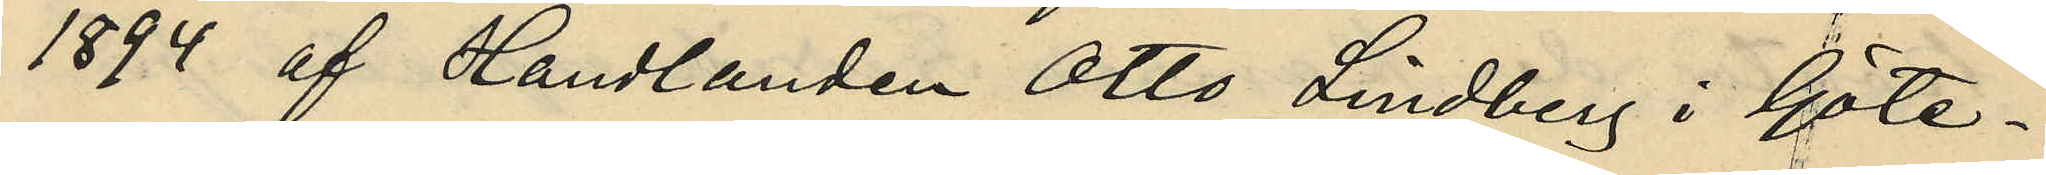1894 af Handlanden Otto Lindberg i Göte¬
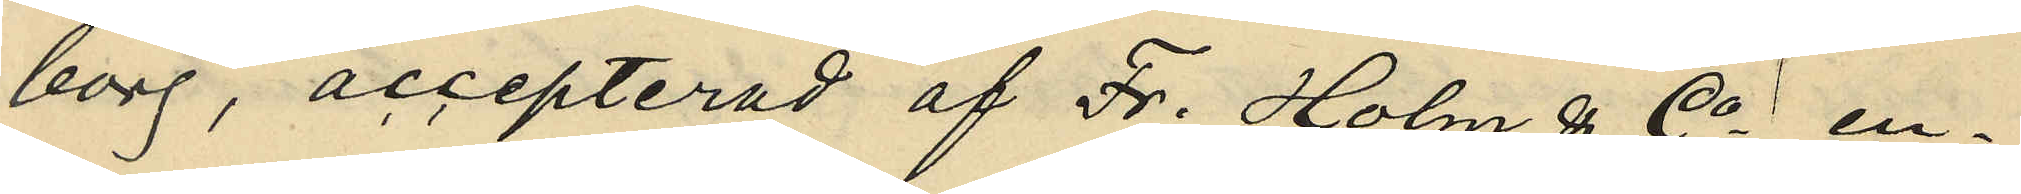borg, accepterad af Fr. Holm & Co ; en¬
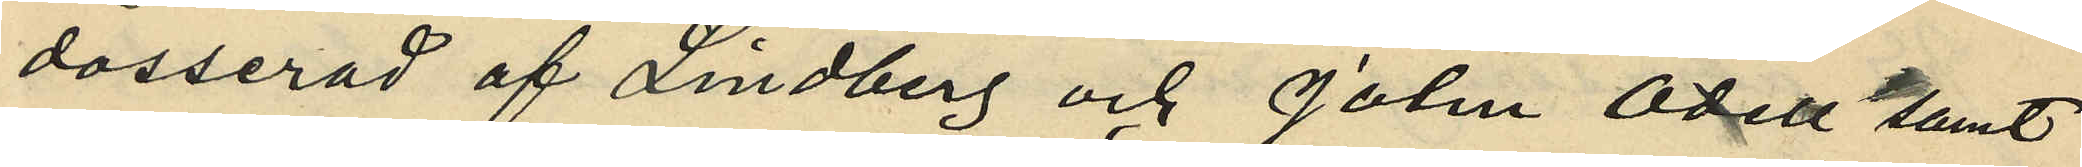dosserad af Lindberg och John Odell samt
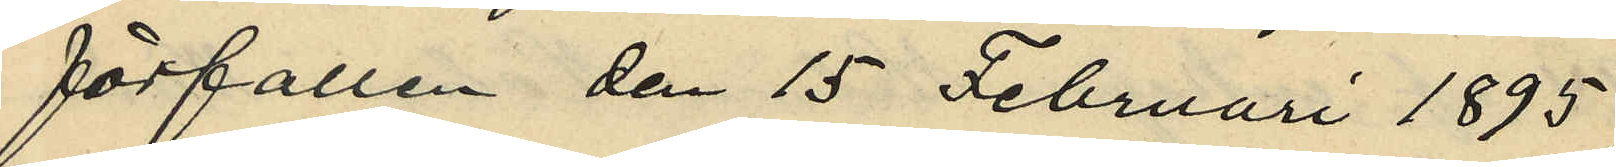förfallen den 15 Februari 1895,
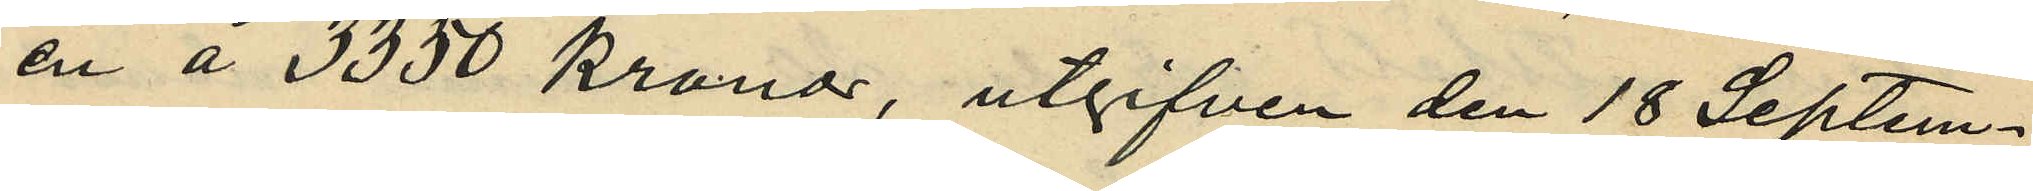en å 3350 kronor, utgifven den 18 Septem¬
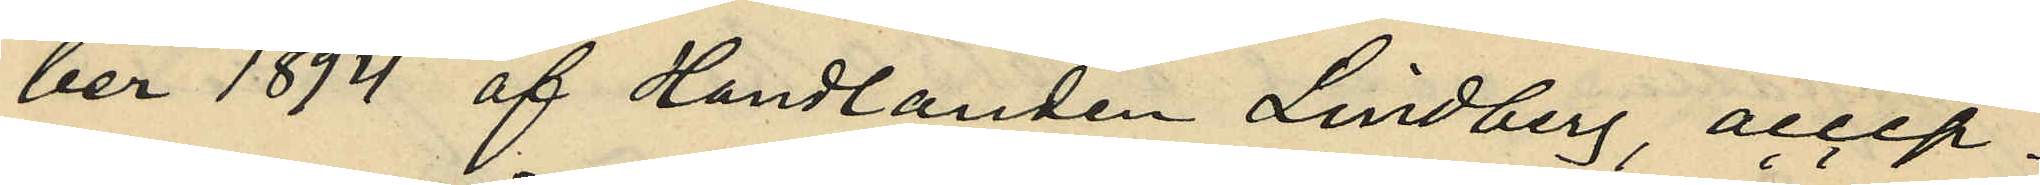ber 1894 af Handlanden Lindberg, accep¬
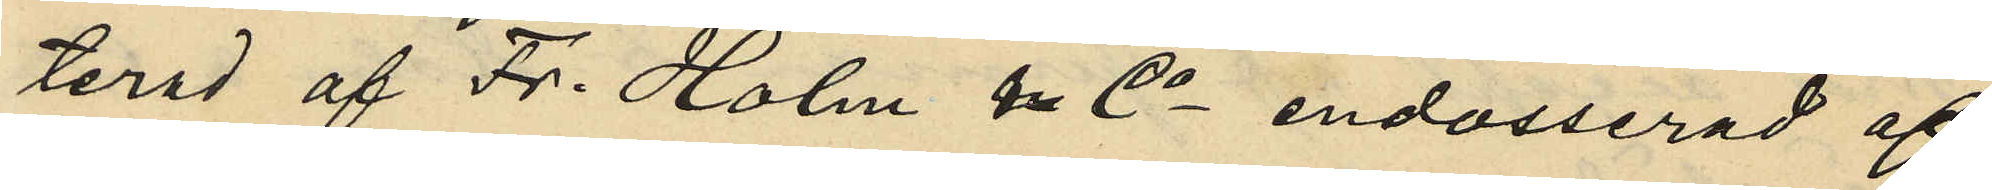terad af Fr. Holm & Co, endosserad af
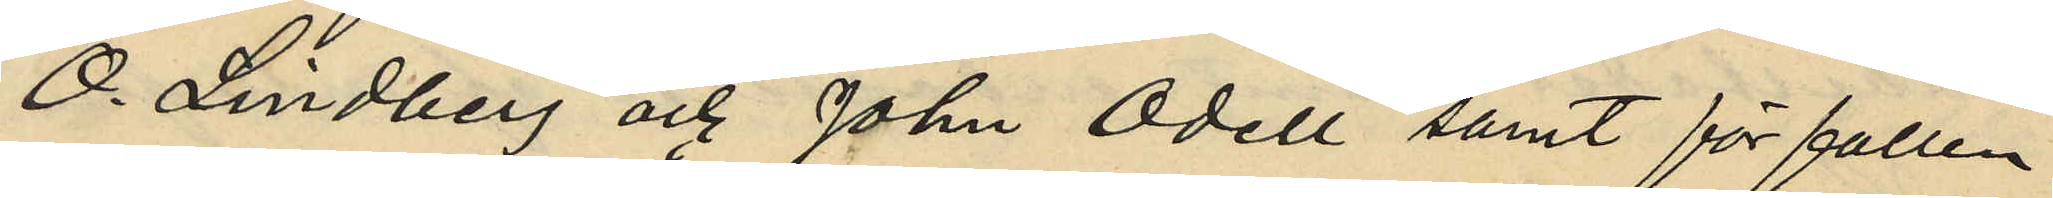O. Lindberg och John Odell samt förfallen
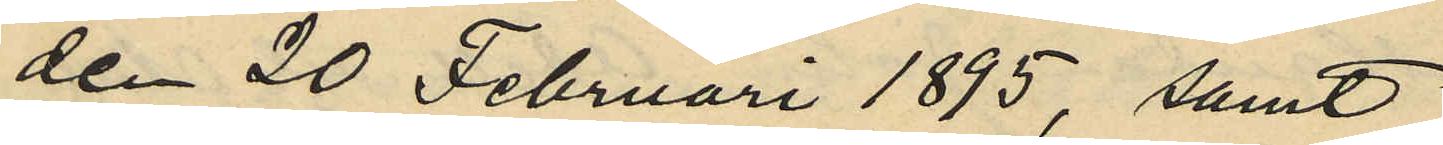den 20 Februari 1895, samt
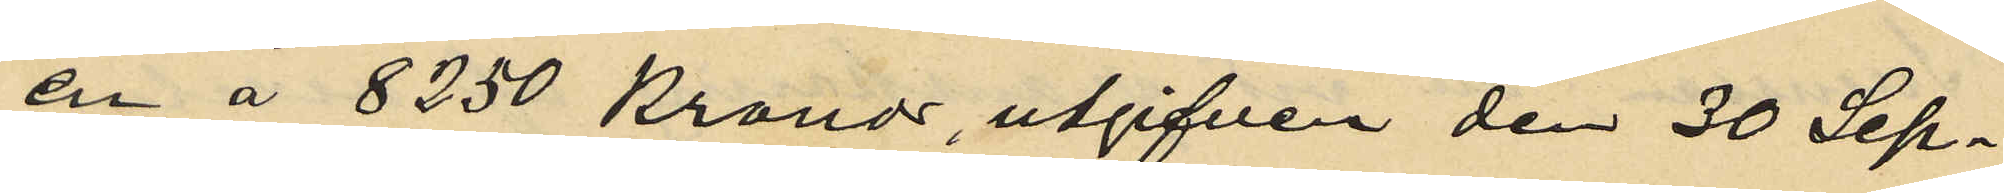en å 8250 Kronor, utgifven den 30 Sep¬
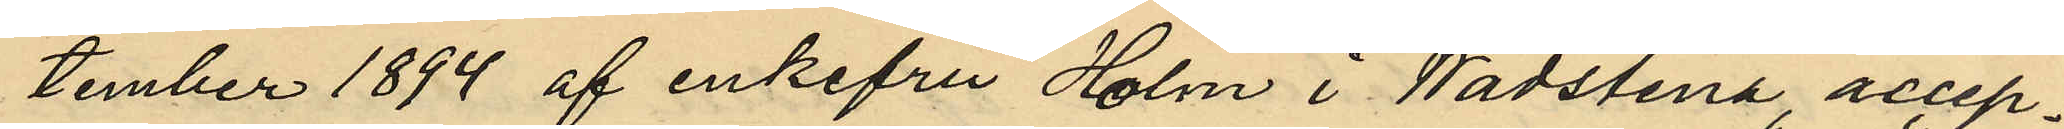tember 1894 af enkefru Holm i Wadstena, accep¬
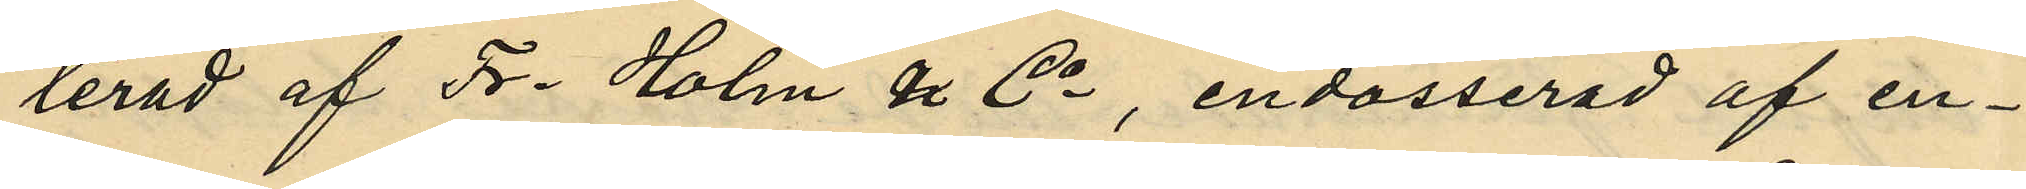terad af Fr. Holm & Co, endosserad af en¬
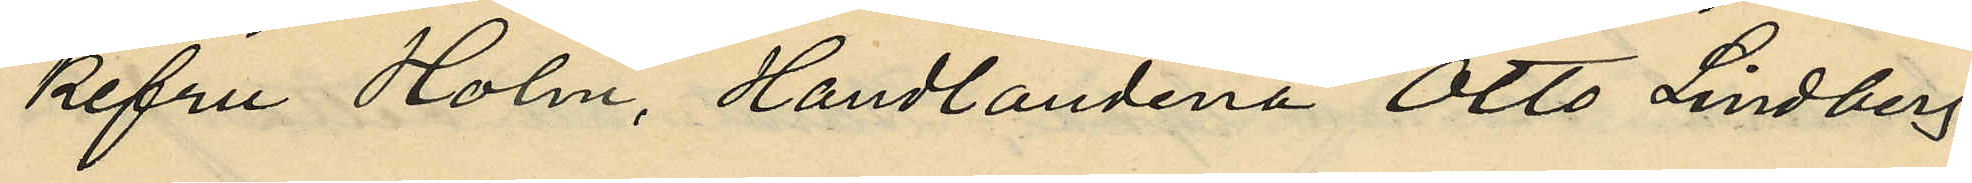kefru Holm, Handlandena Otto Lindberg
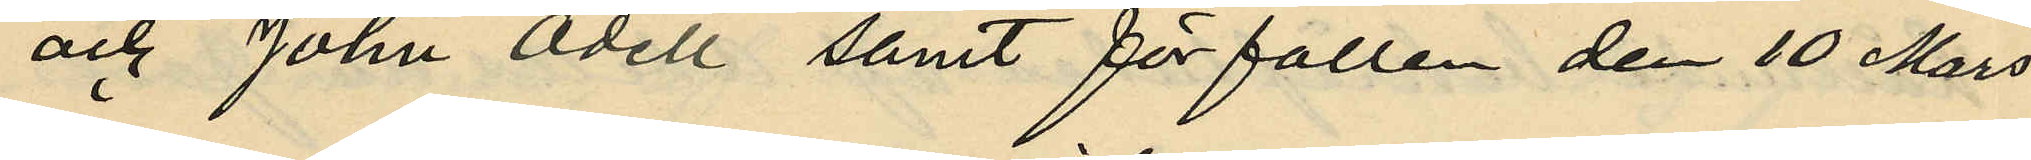och John Odell samt förfallen den 10 Mars
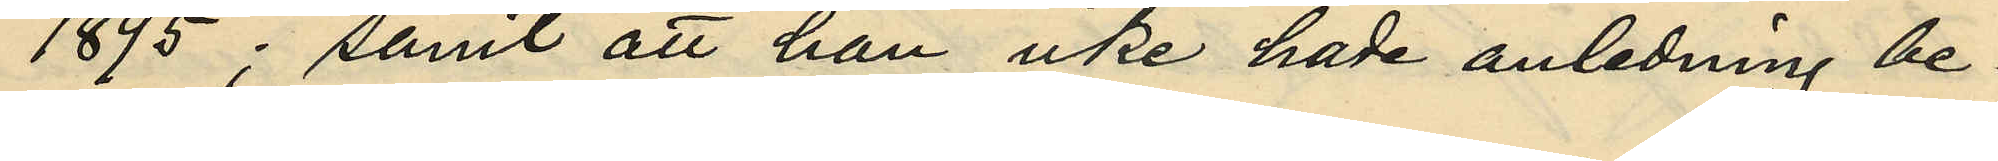1895; samt att han icke hade anledning be¬
